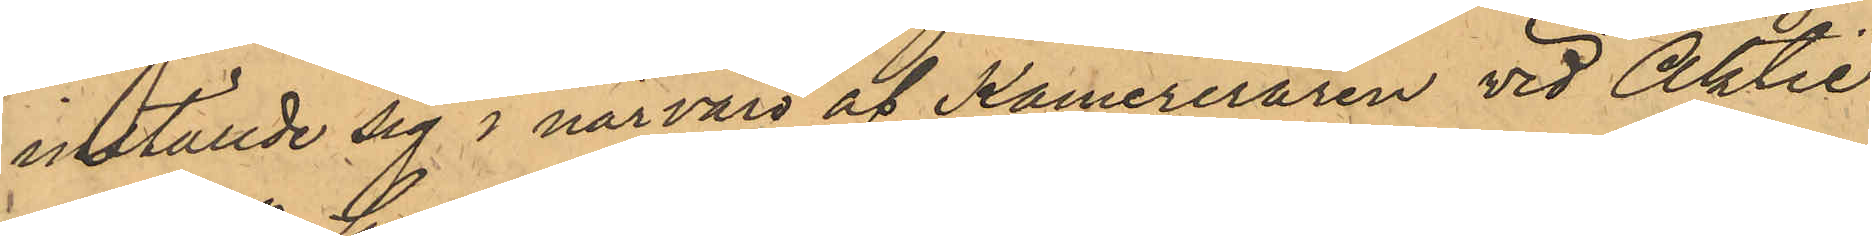inställde sig i närvaro af Kamereraren vid Aktie¬
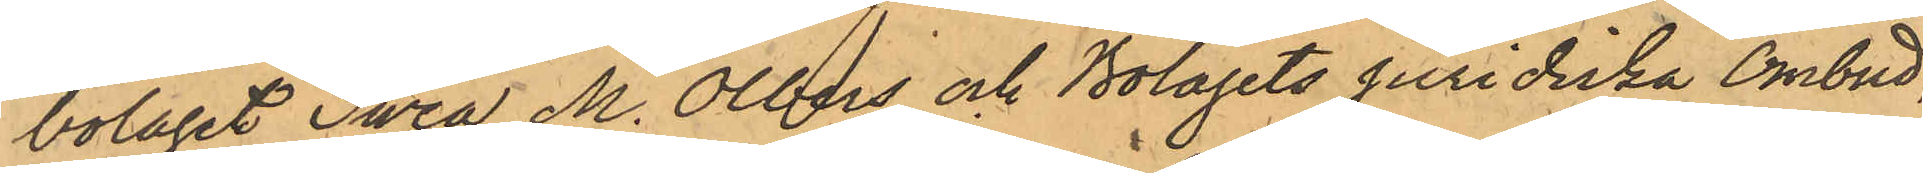bolaget Swea M. Olbers och Bolagets Juridiska Ombud,
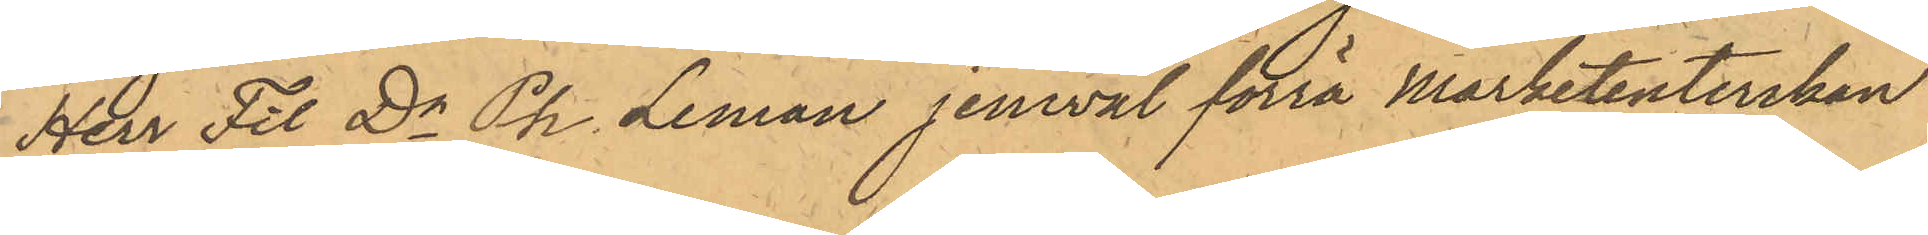Herr Fil Dr Ph Leman jemväl förra Marketenterskan
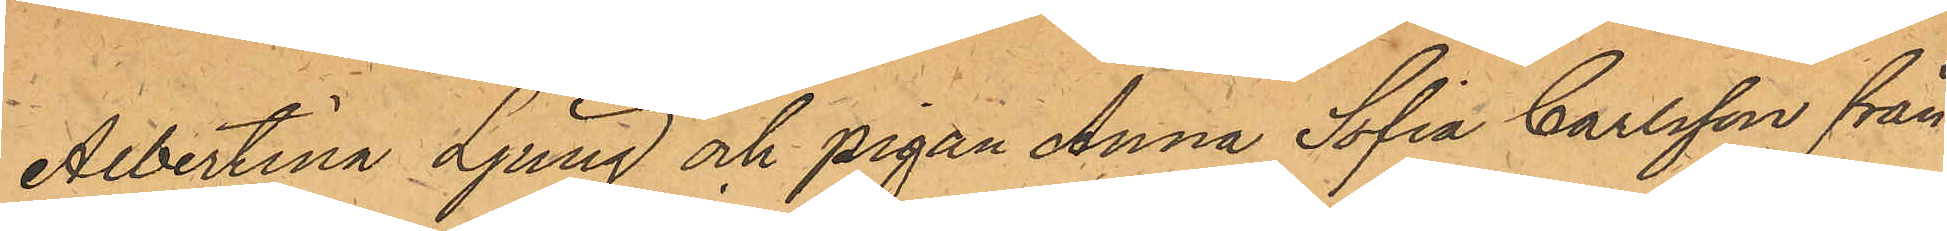Albertina Ljung och pigan Anna Sofia Carlsson från
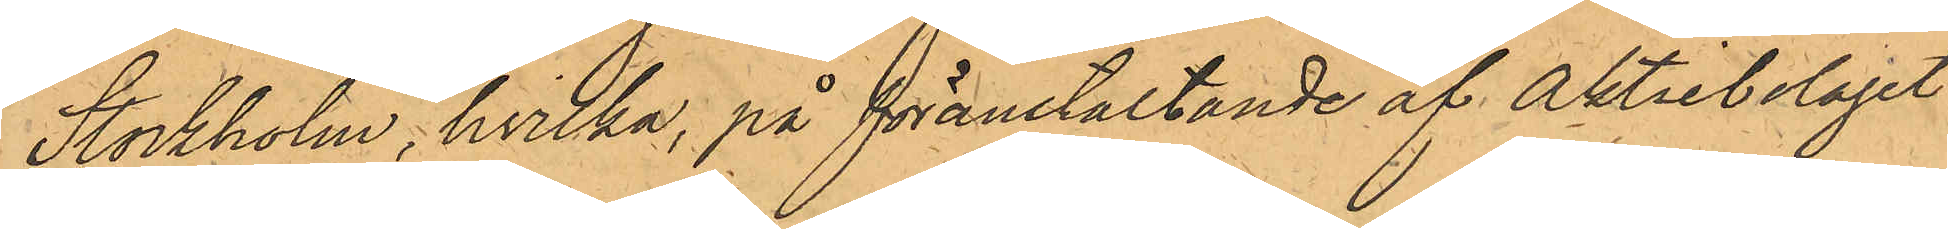Stockholm, hvilka, på föranstaltande af Aktiebolaget
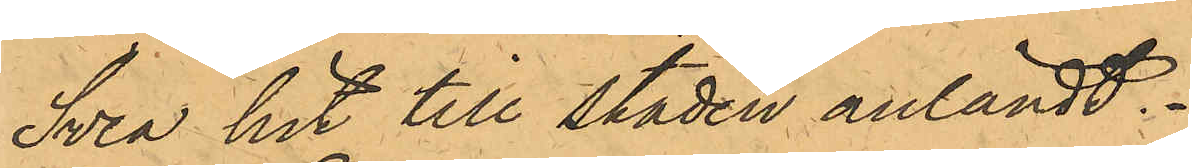Svea hit till staden anländt.
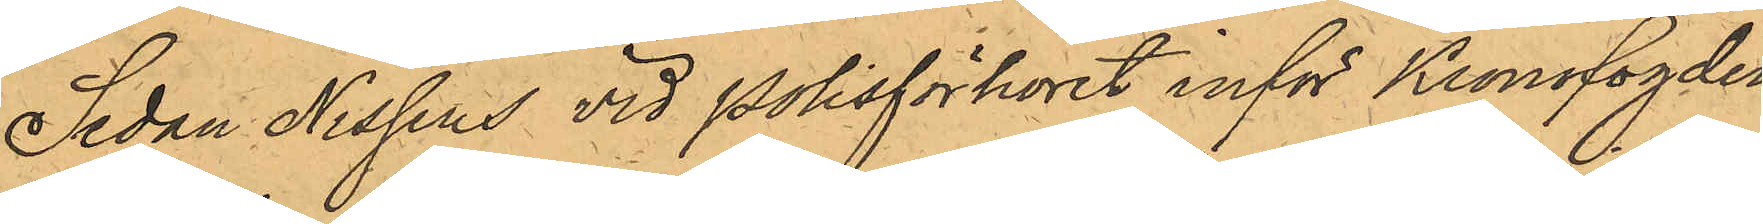Sedan Nissens vid Polisförhöret inför Kronofogden
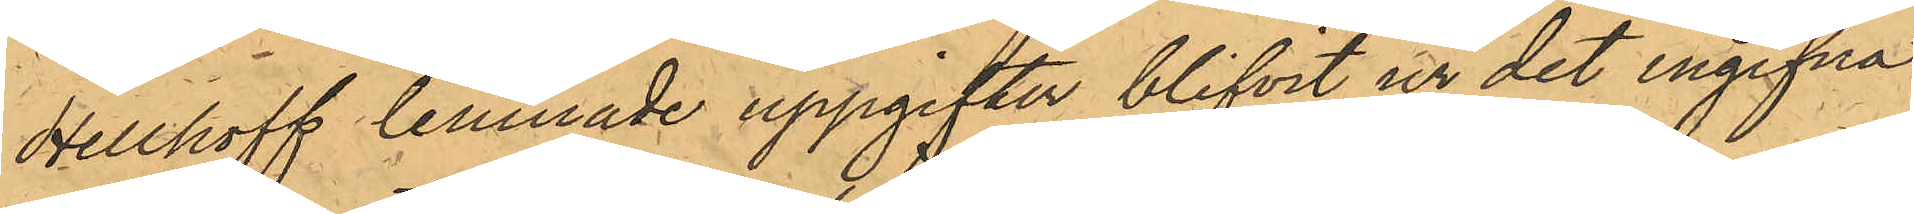Hellhoff lemnade uppgifter blifvit ur det ingifna
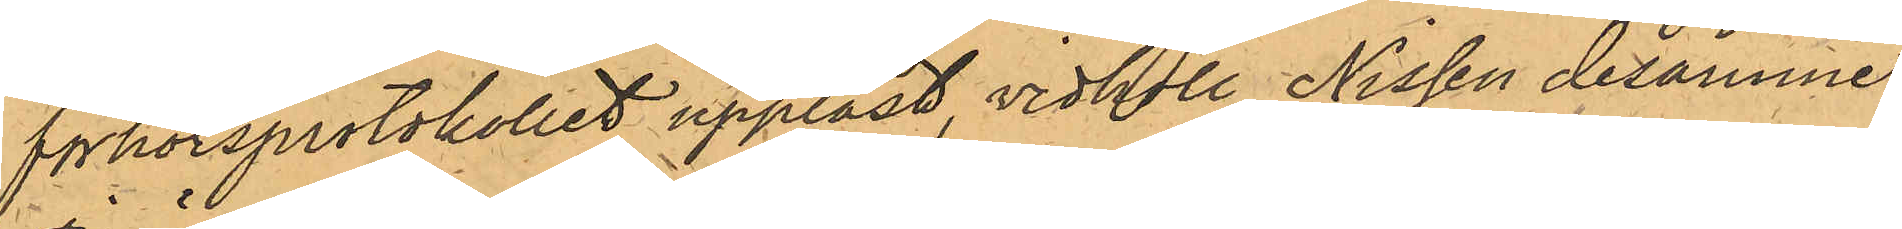förhörsprotokollet uppläst, vidhöll Nissen desamme;
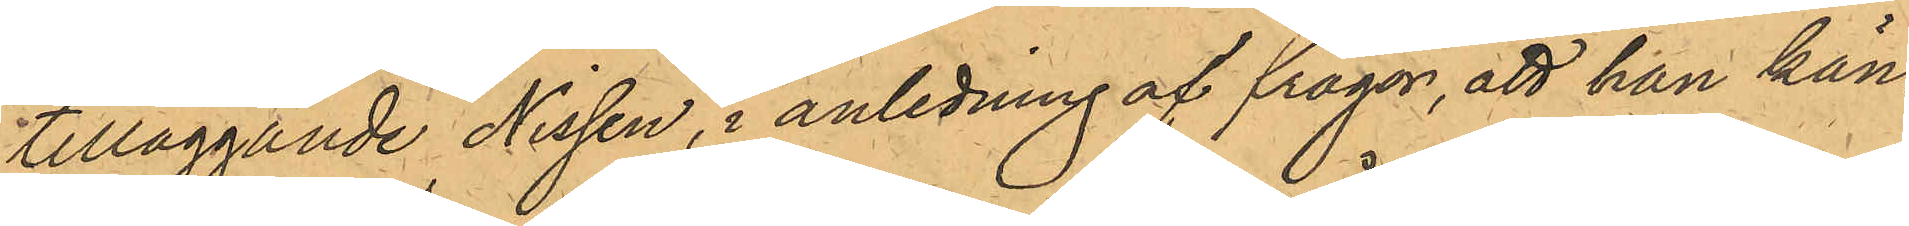tilläggande Nissen, i anledning af frågor, att han kän¬
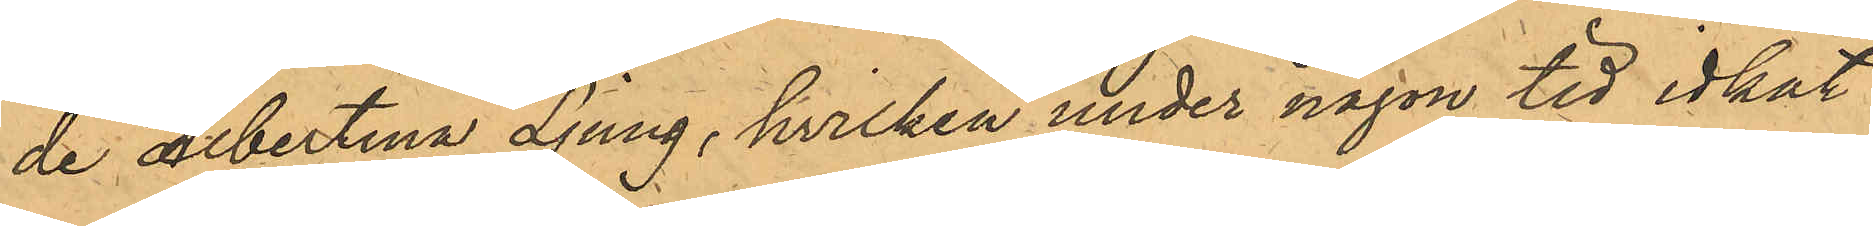de Albertina Ljung, hvilken under någon tid idkat
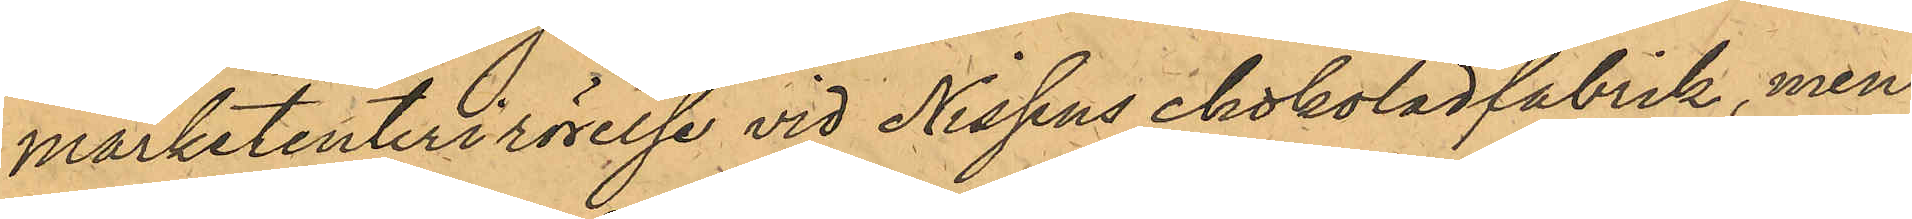marketenterirörelse vid Nissens chokoladfabrik, men
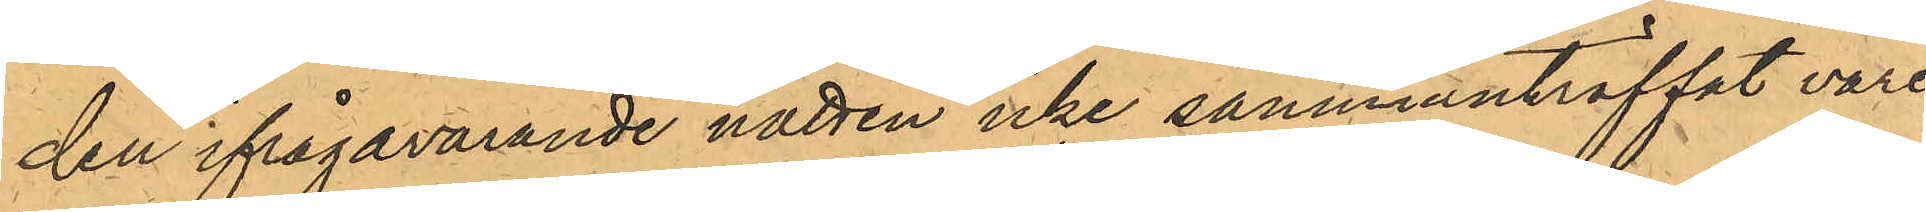den ifrågavarande natten icke sammanträffat vare
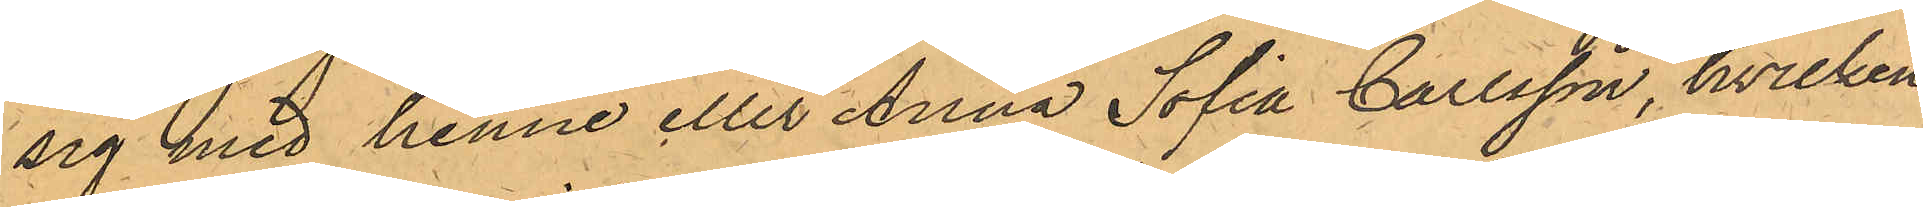sig med henne eller Anna Sofia Carlsson, hvilken
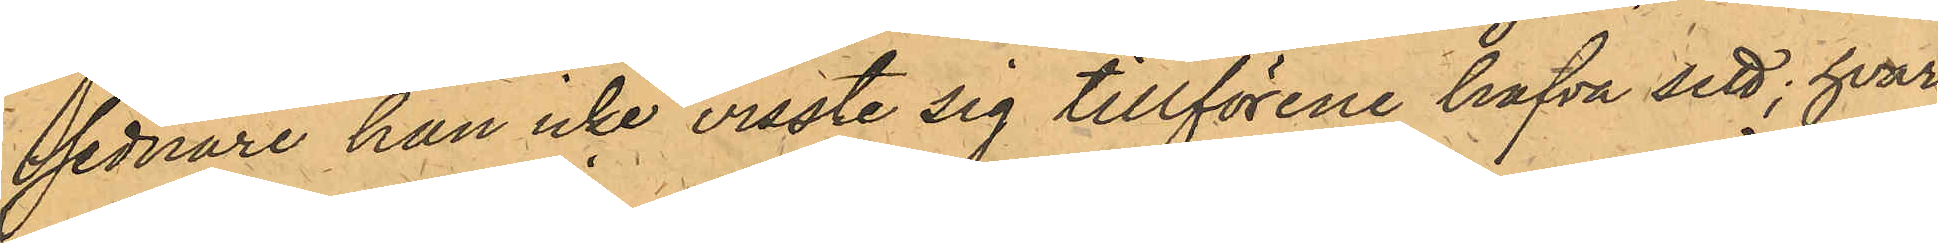sednare han icke visste sig tillförene hafva sett; hvar¬
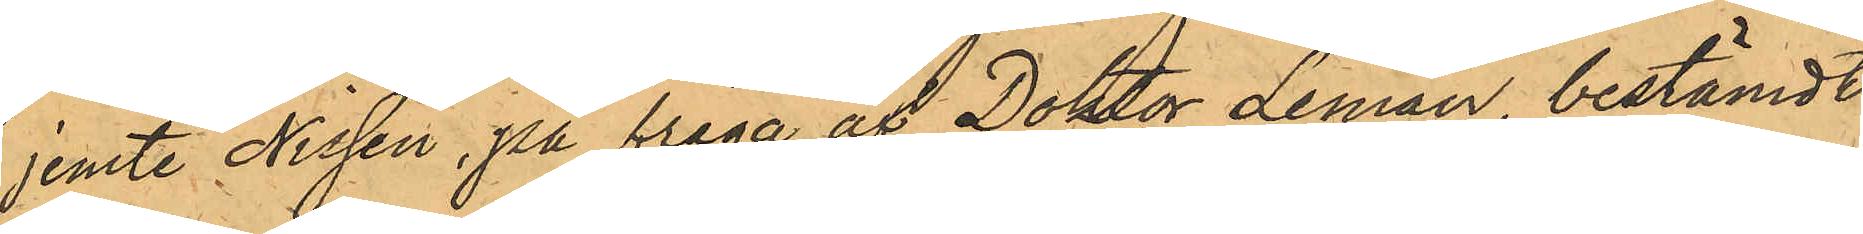jemte Nissen, på fråga af Doktor Leman, bestämdt
